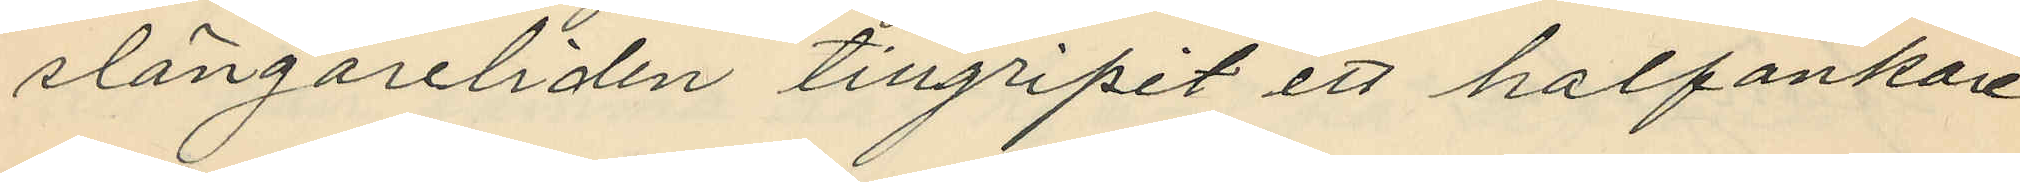slängareliden tillgripit ett halfankare
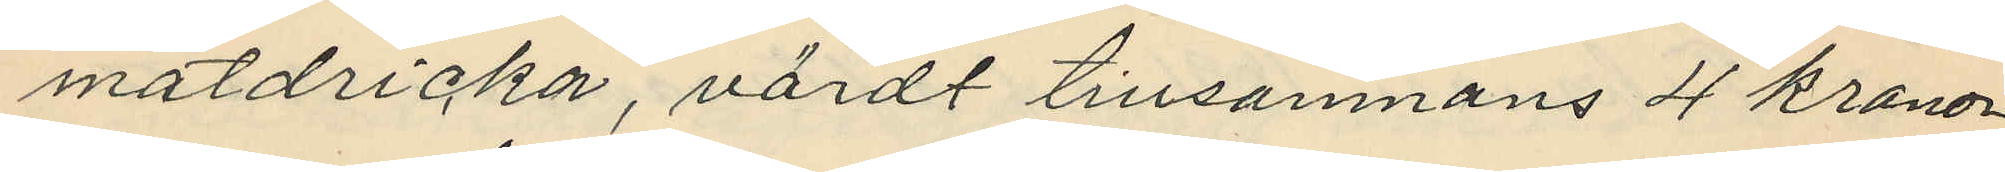matdricka, värdt tillsamnans 4 kronor
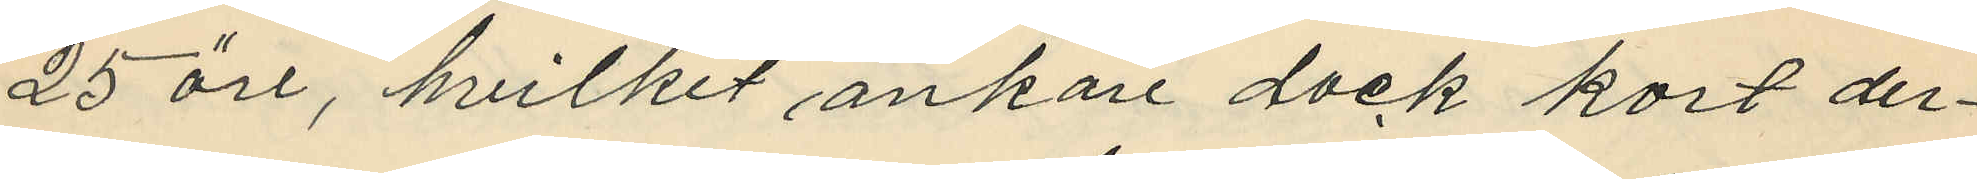25 öre, hvilket ankare dock kort der¬
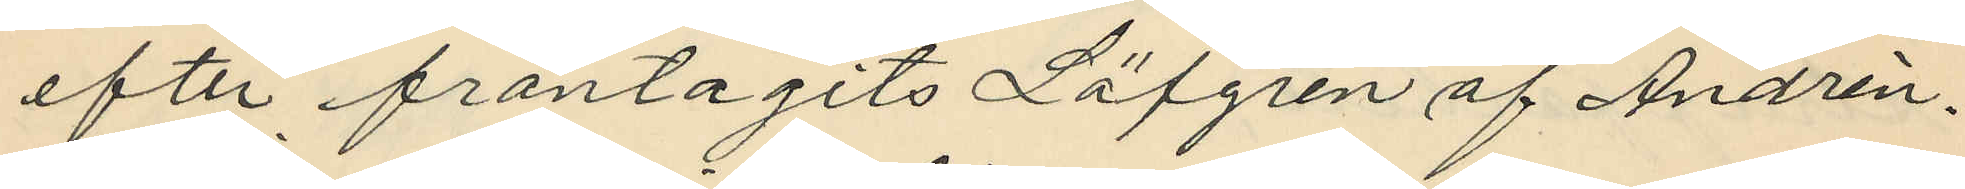efter fråntagits Löfgren af Andrén.
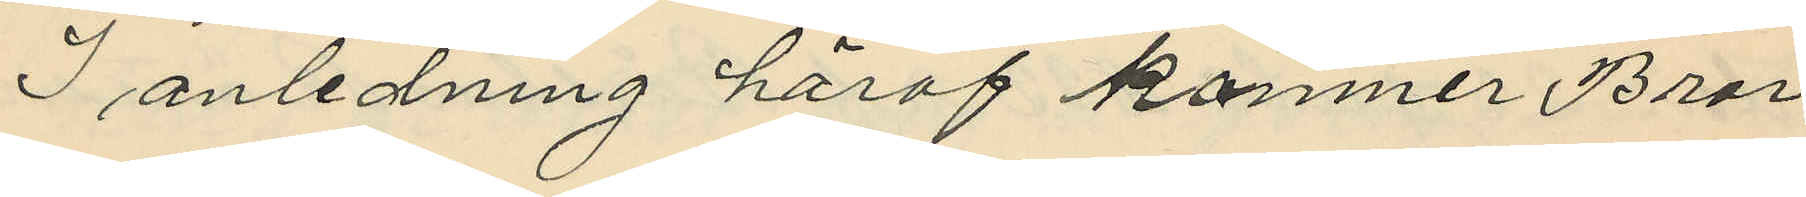I anledning häraf kommer Bror
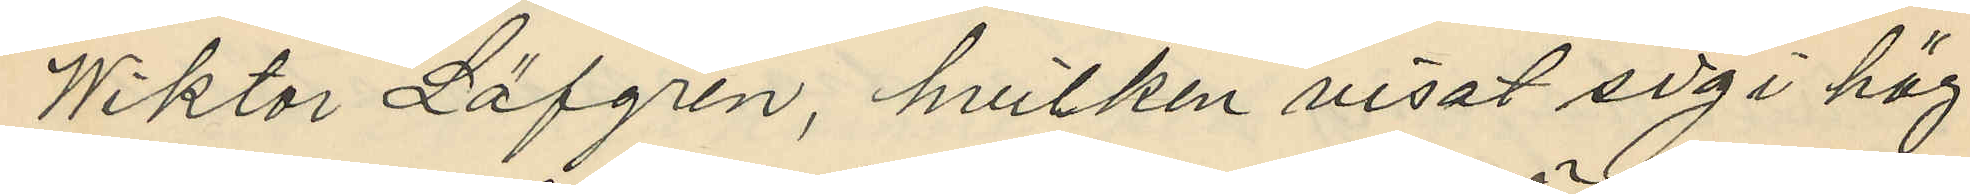Wiktor Löfgren, hvilken visat sig i hög
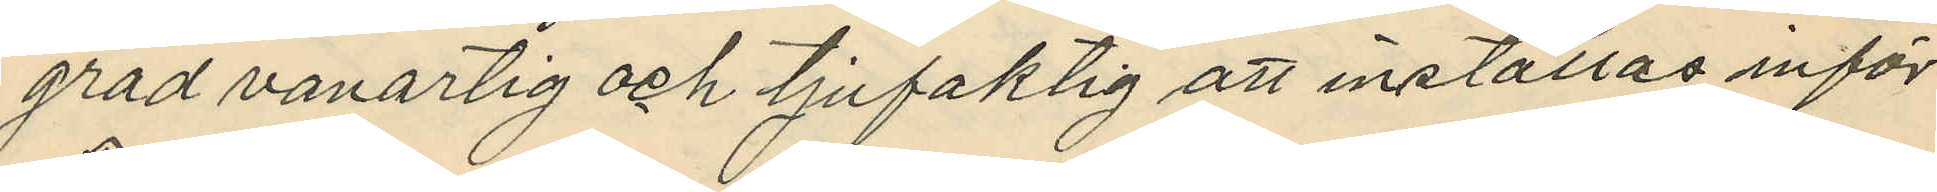grad vanartig och tjufaktig att inställas inför
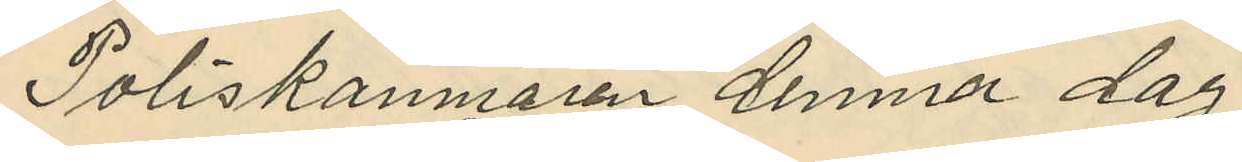Poliskamnaren denma dag.
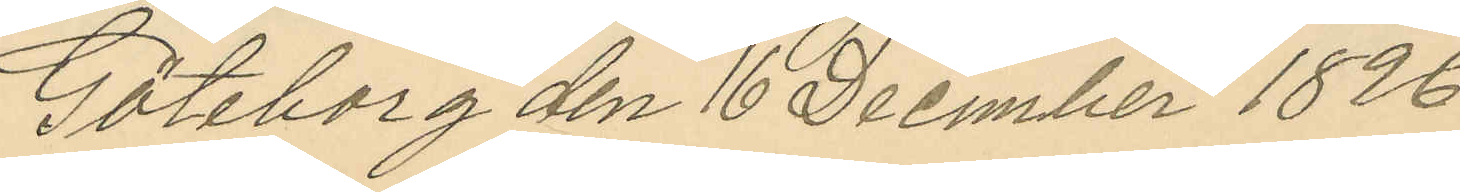Göteborg den 16 December 1896.
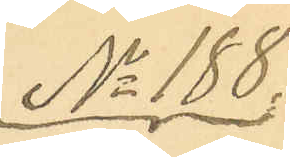No 188.
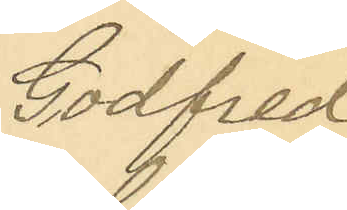Godfred
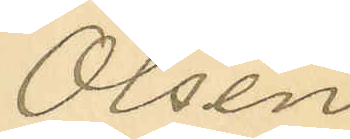Olsen
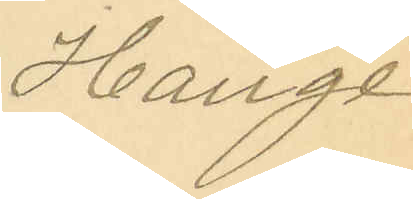Hauge
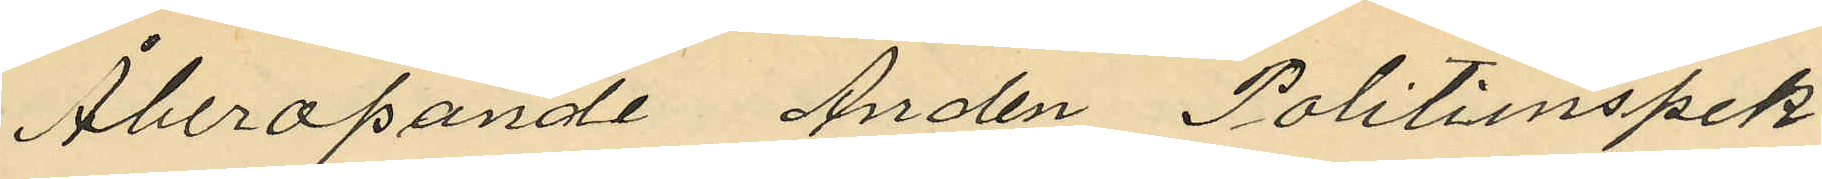Åberopande Anden Politiinspek¬
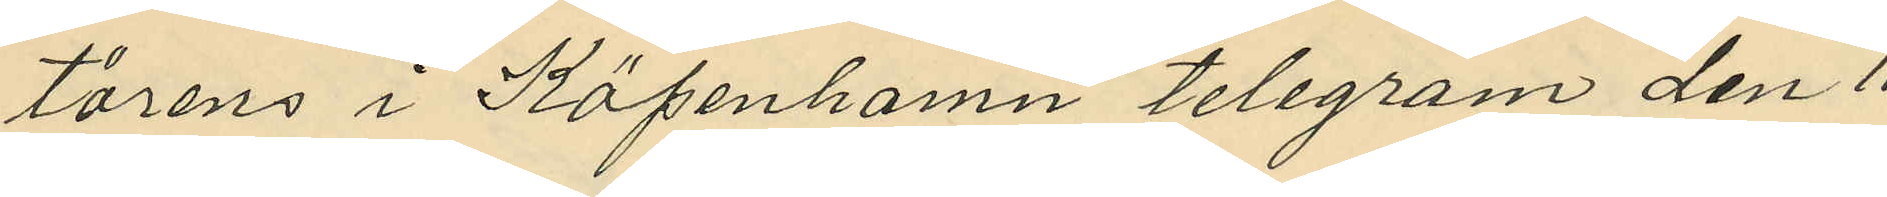törens i Köpenhamn telegram den 11
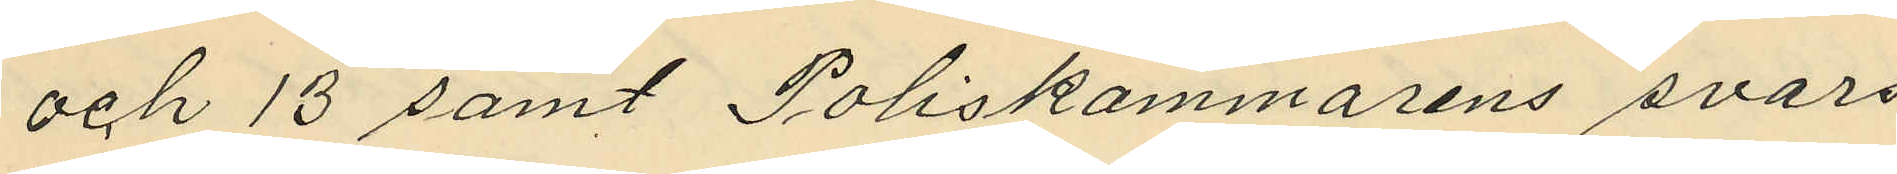och 13 samt Poliskammarens svars¬
